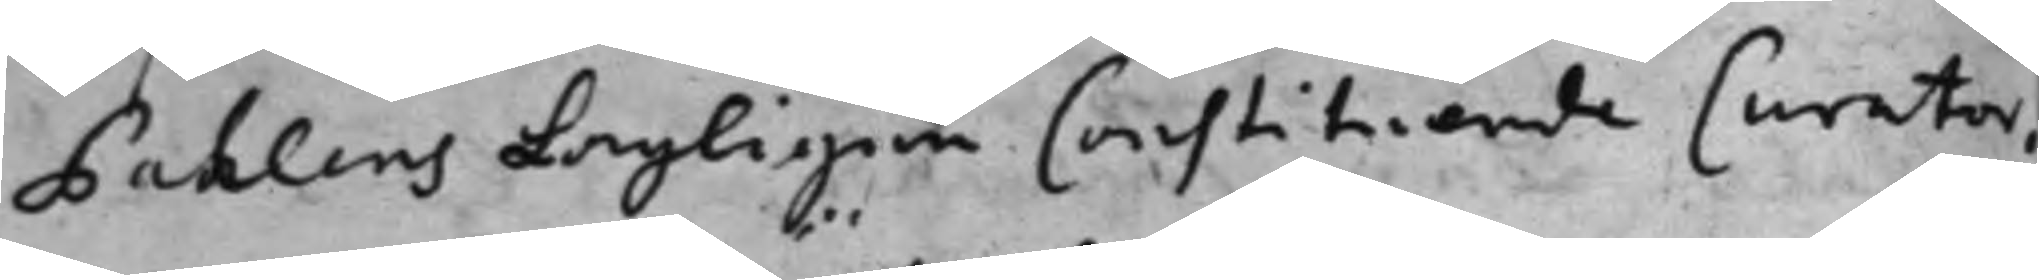Pahlens lagligen Constituerede Curator,
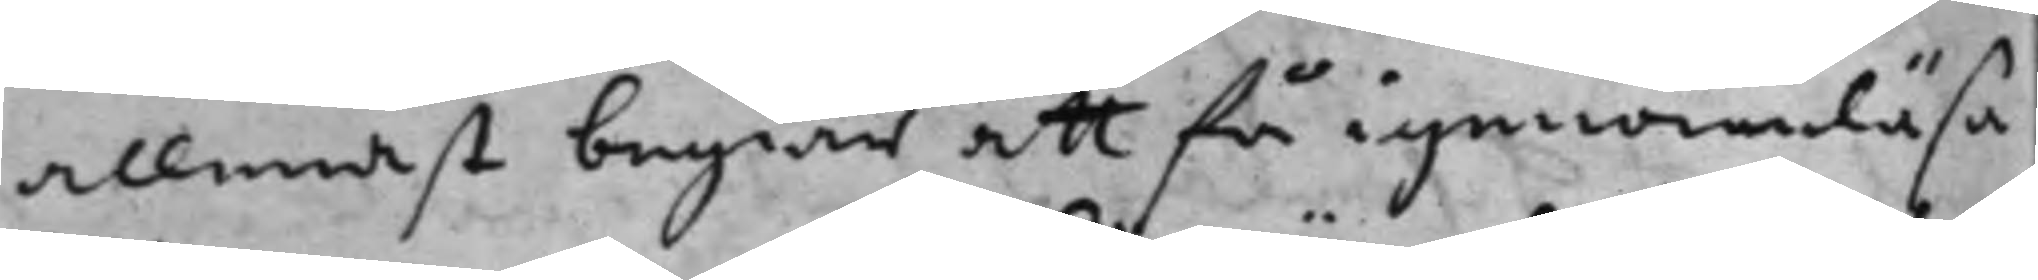allenast begär att få igenomläsa
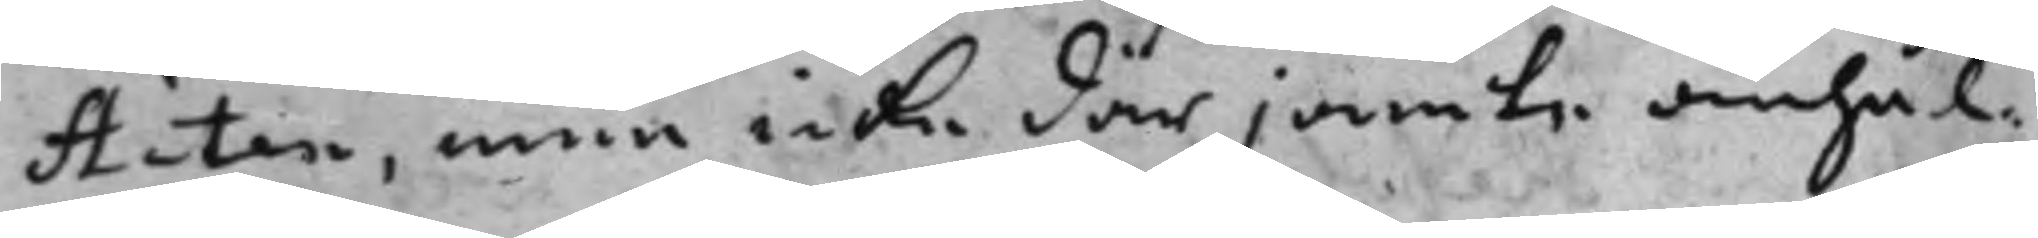Acten men inte därjämte anhål¬
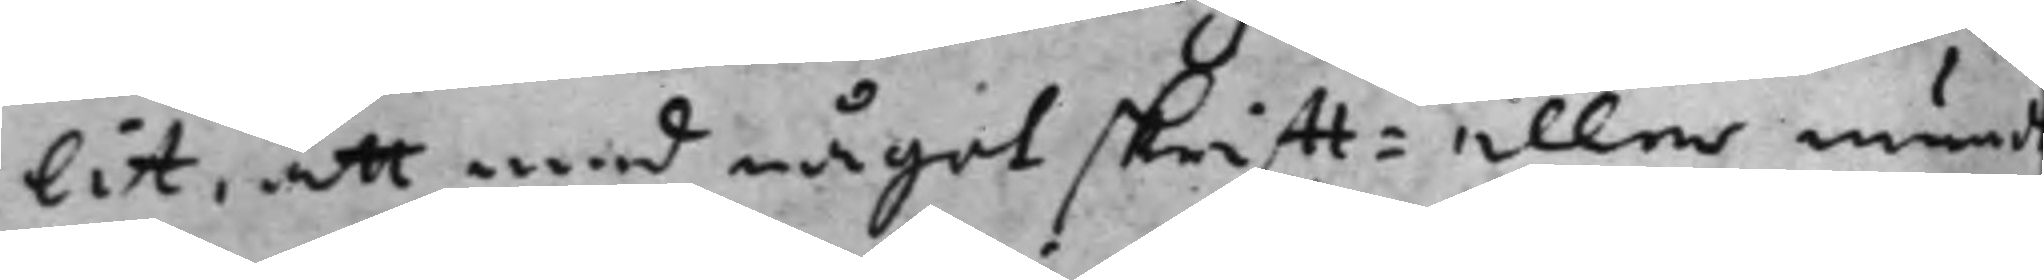lit, att med något skrifft- eller mundt¬
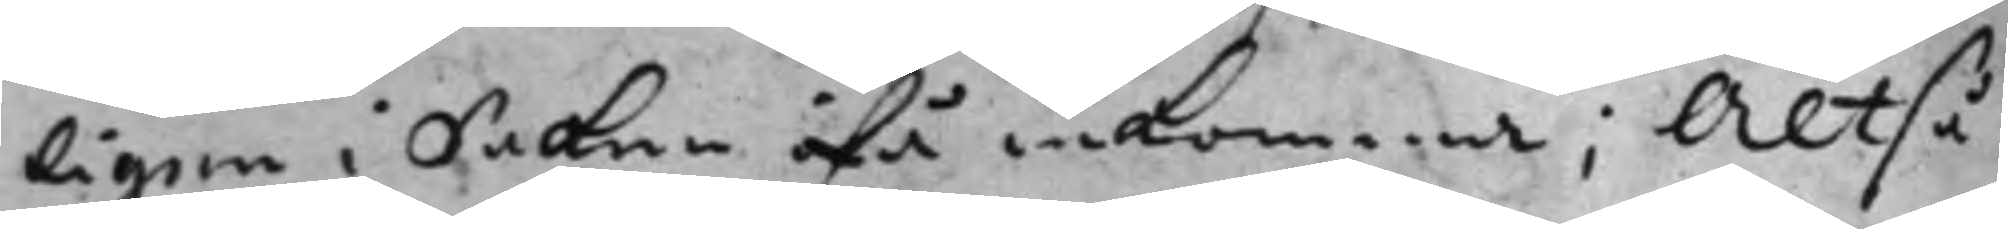ligen i saken  inkomma; altså
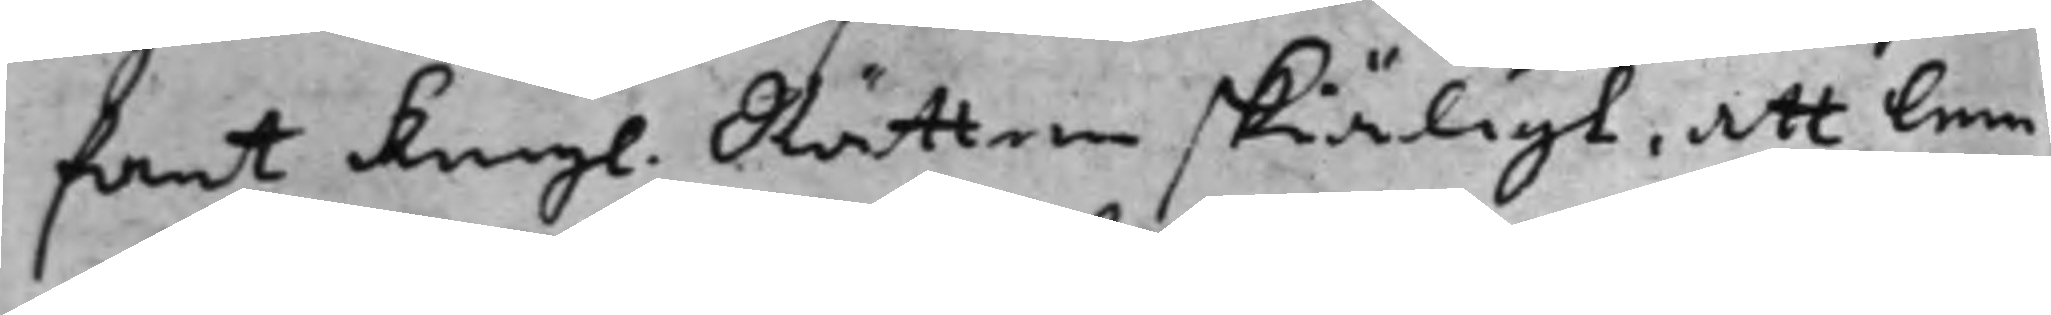fant Kongl. Rätten skiäligt, att lem¬
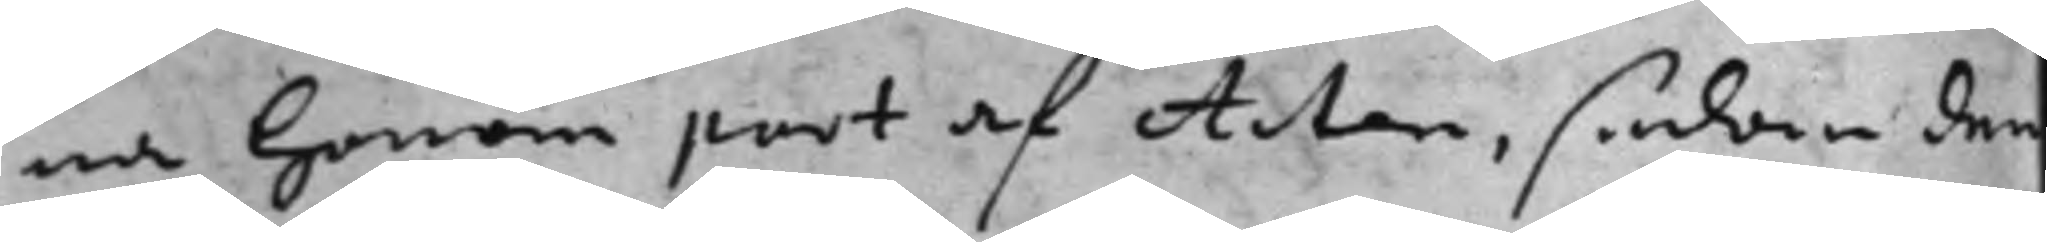na honom part af Acten, sedan den
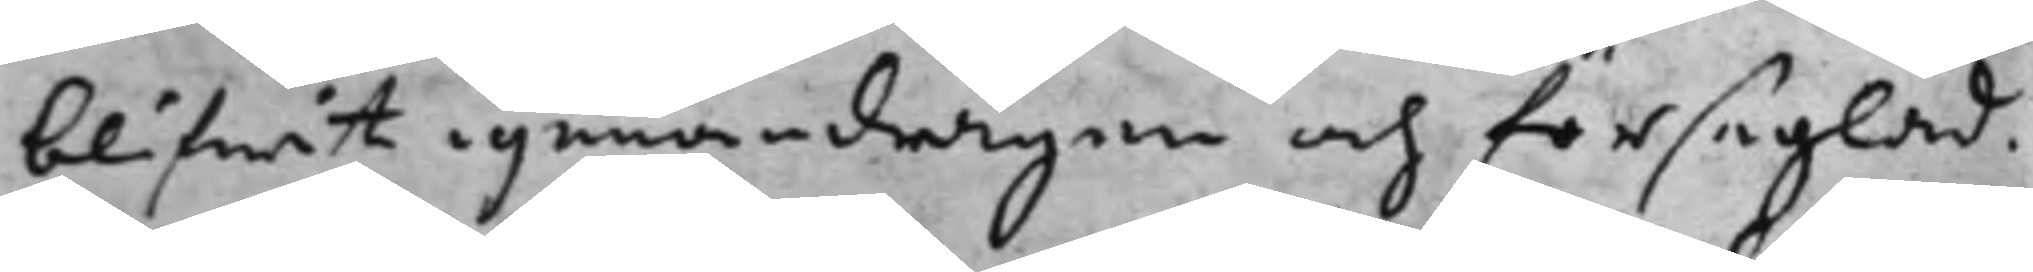blifwit igenomdragen och förseglad.
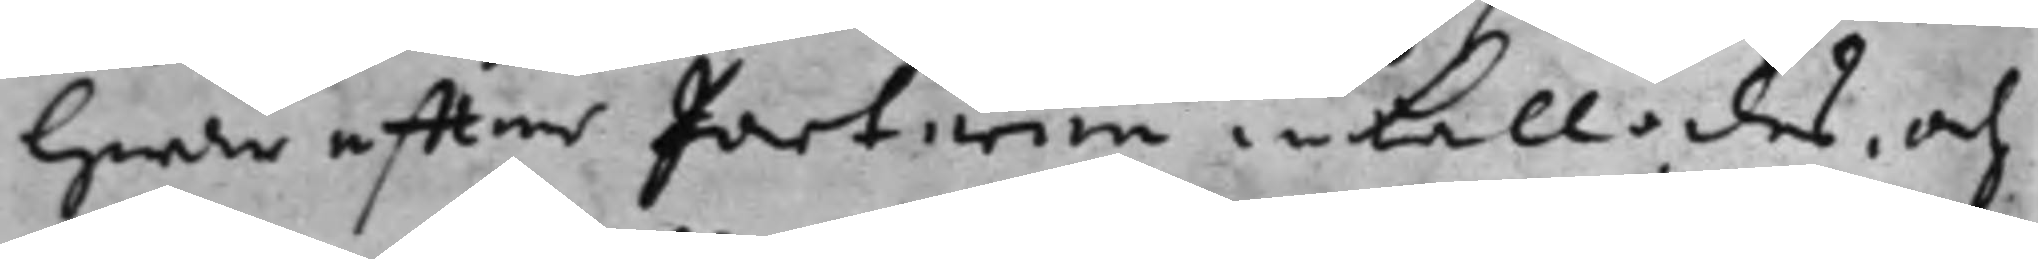Hwarefter parterne inkallades, och
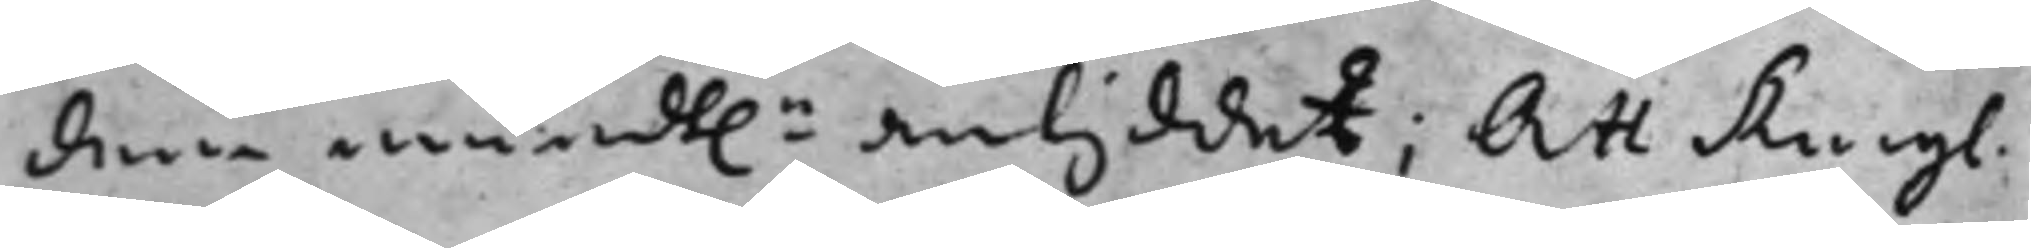denne mundt.n antyddet; Att Kongl.
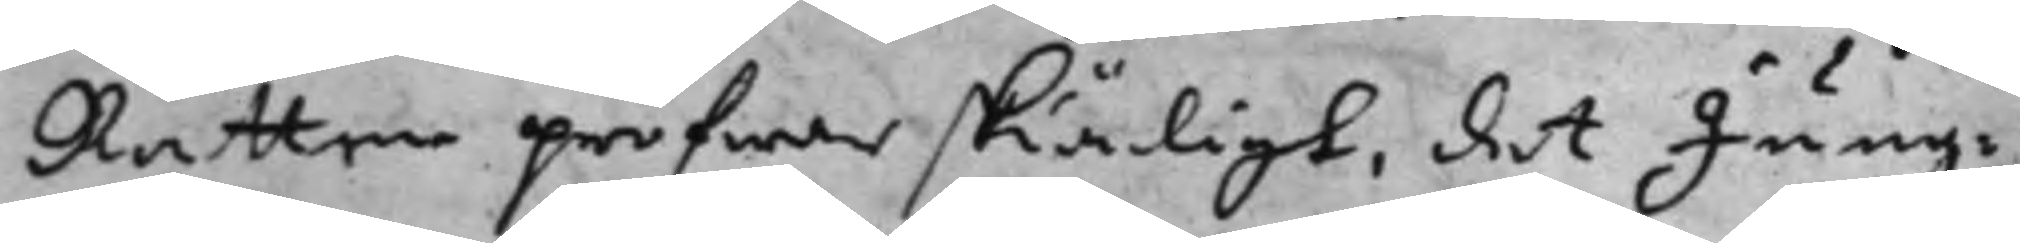Rätten pröfwar skiäligt, det Jung¬
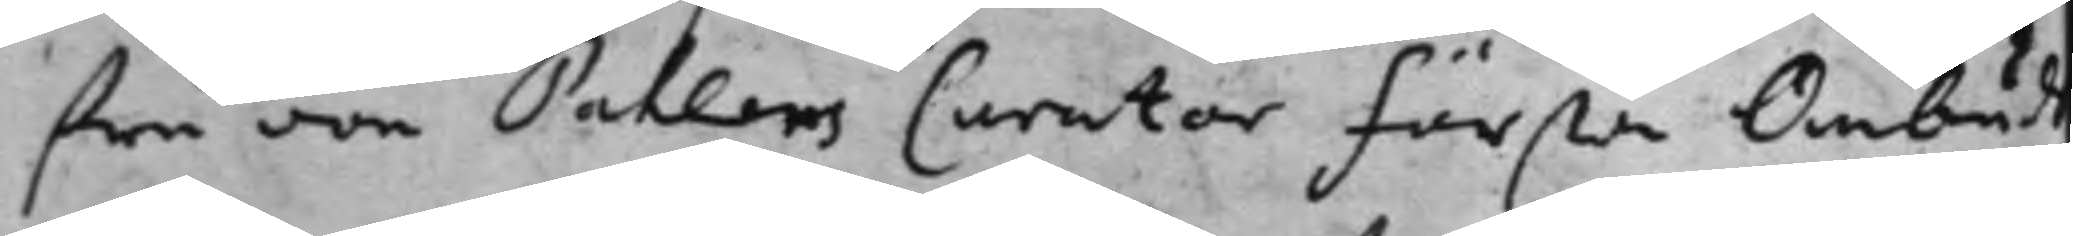fru von Pahlens Curator första Ombuds¬
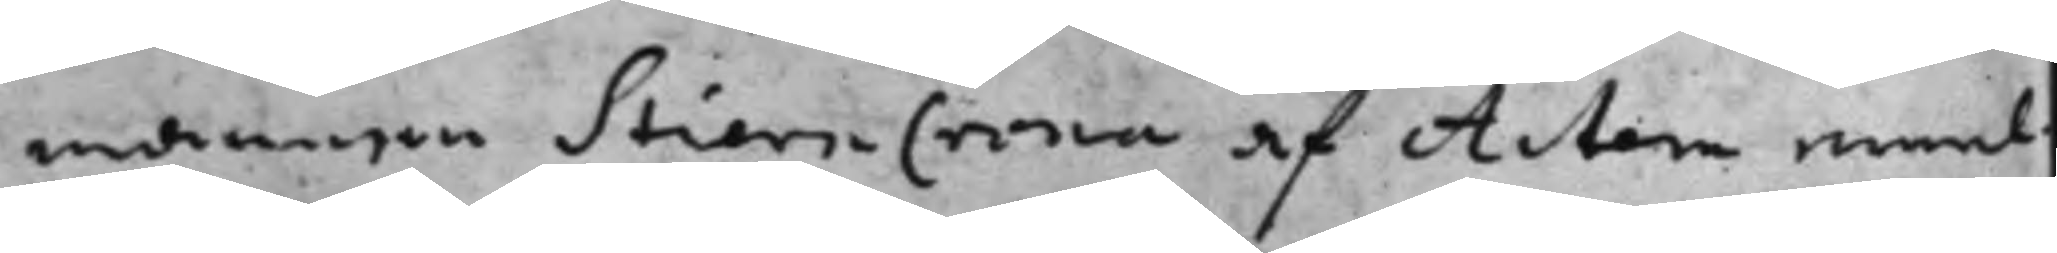mannen StiernCrona af Acten emel¬
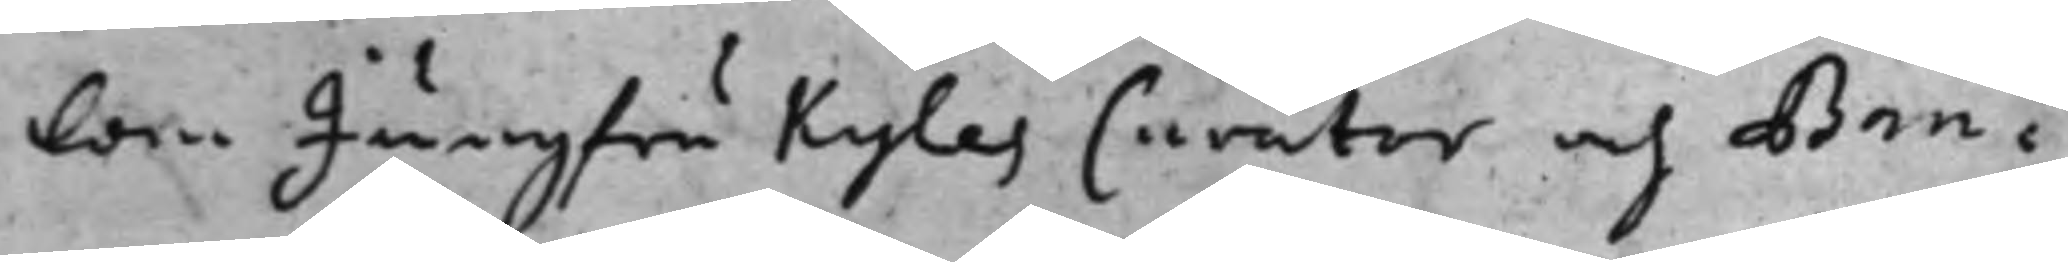lan Jungfru Kyles Curator och Ban¬
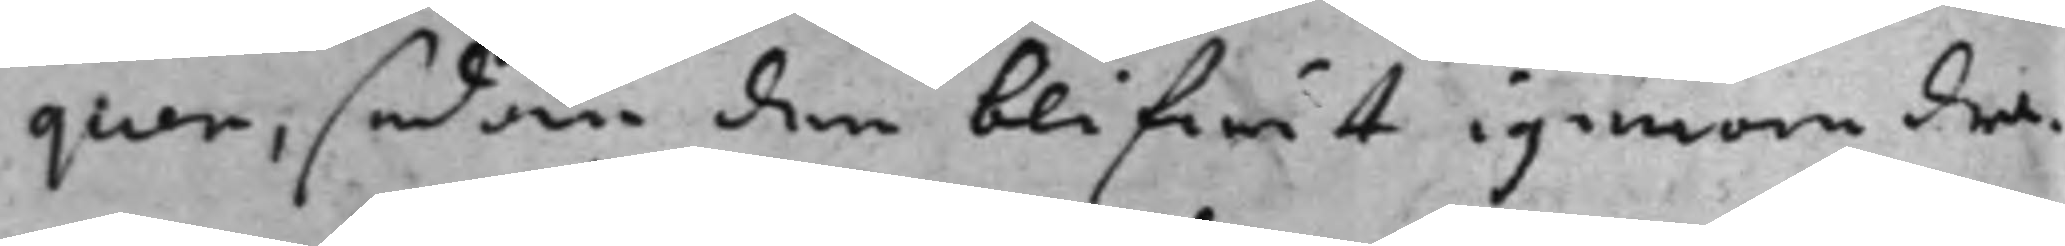quen, sedan den blifwit igenomdra¬
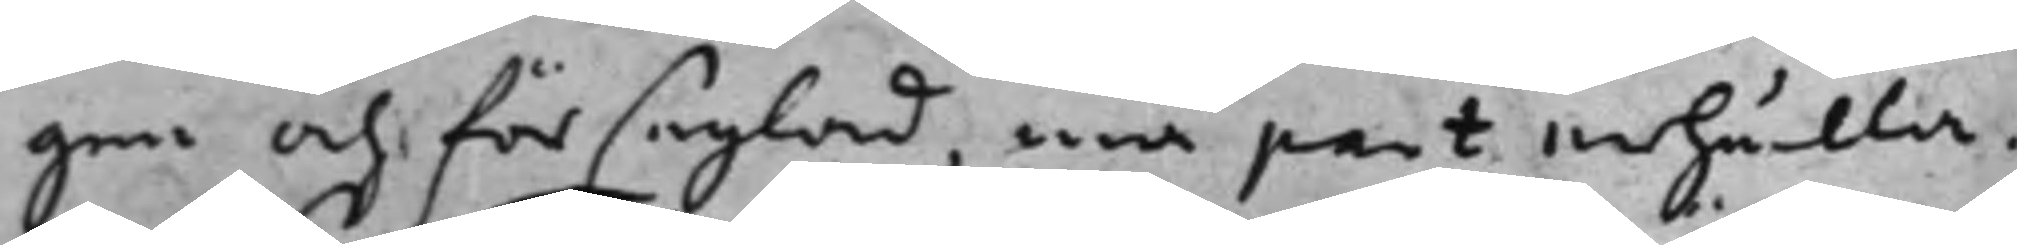gen och förseglad, må part erhålla.
